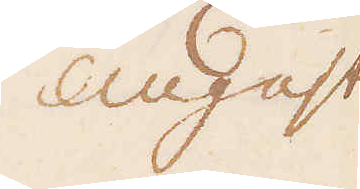Augusti
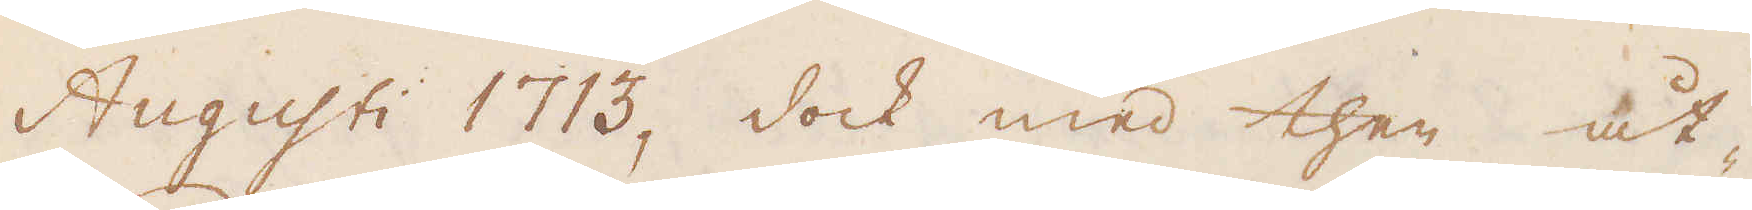Augusti 1713, dock med then åt-
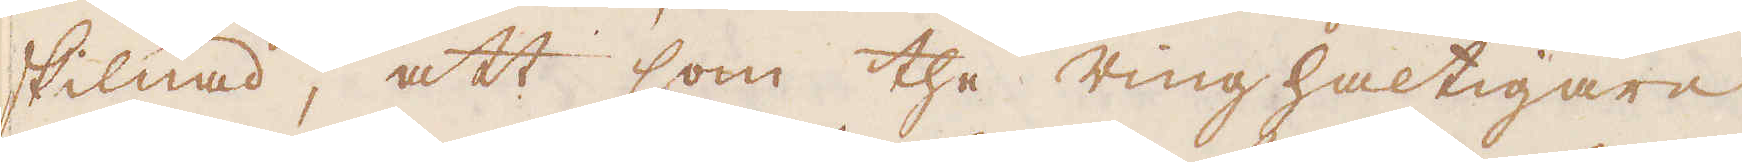skilnad, att som the ringhaltigare
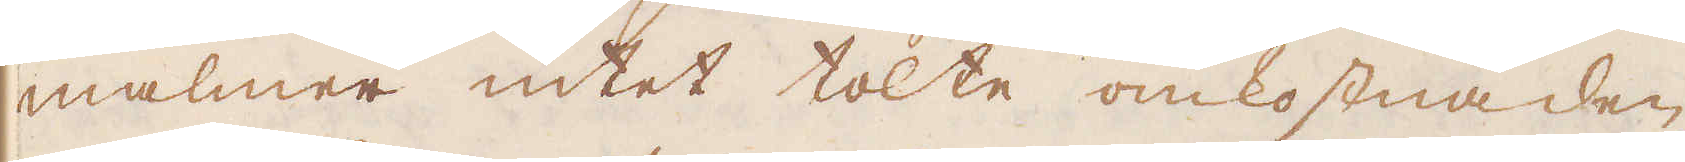malmer intet tolte omkostnaden
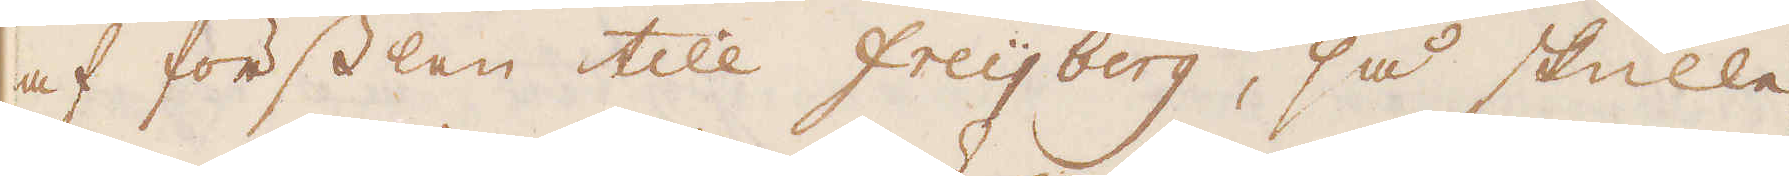af försslen till Freijjberg, så skulle
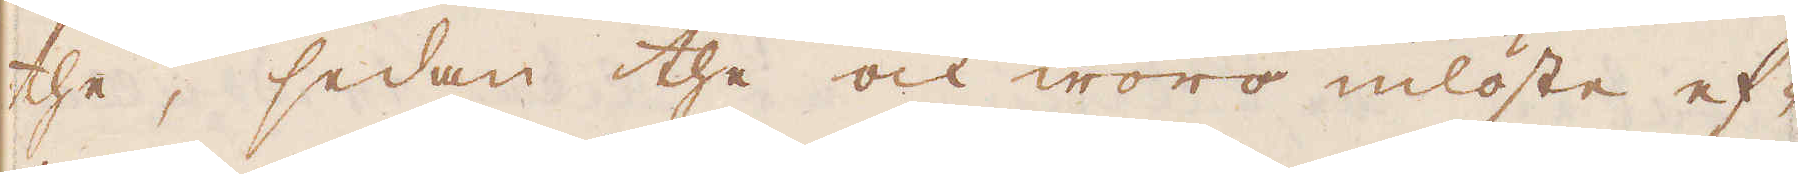the, sedan the ock woro inlöste ef-
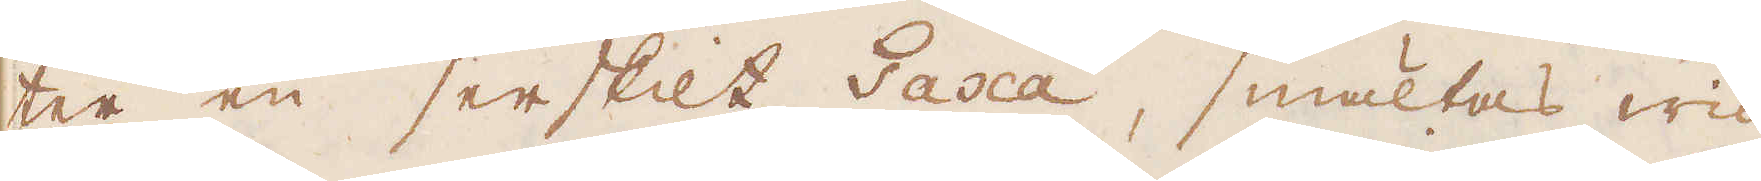ter en serskilt Taxa, smältas wid
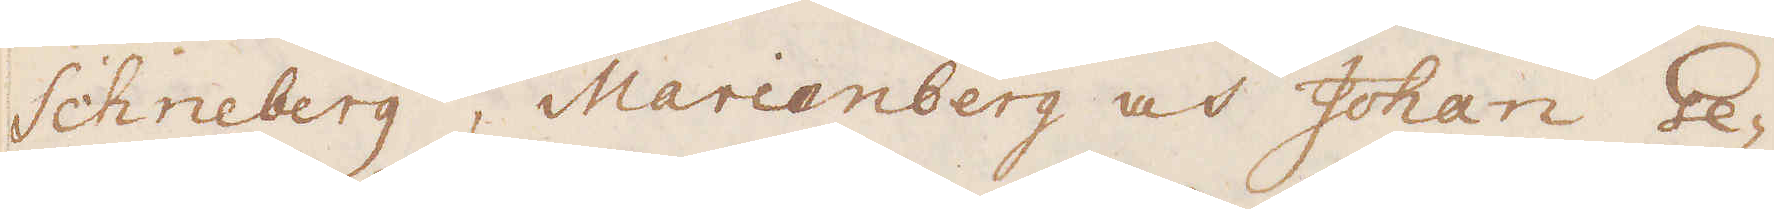Schneberg, Marienberg och Johan Ge-
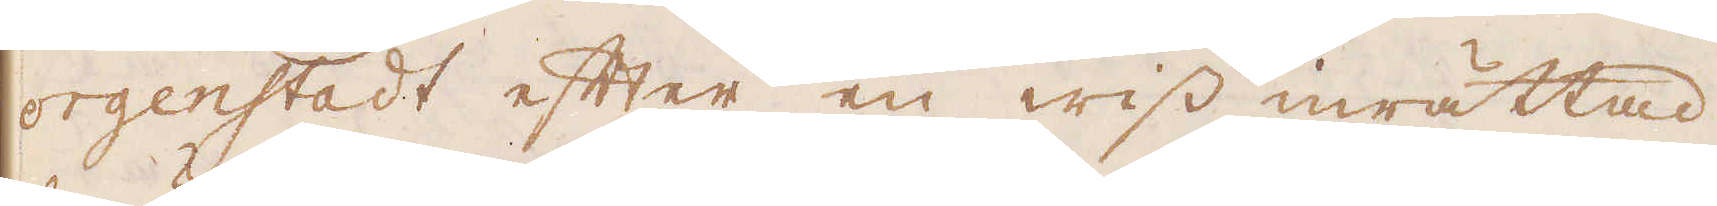orgenstadt efter en wiss inrättad
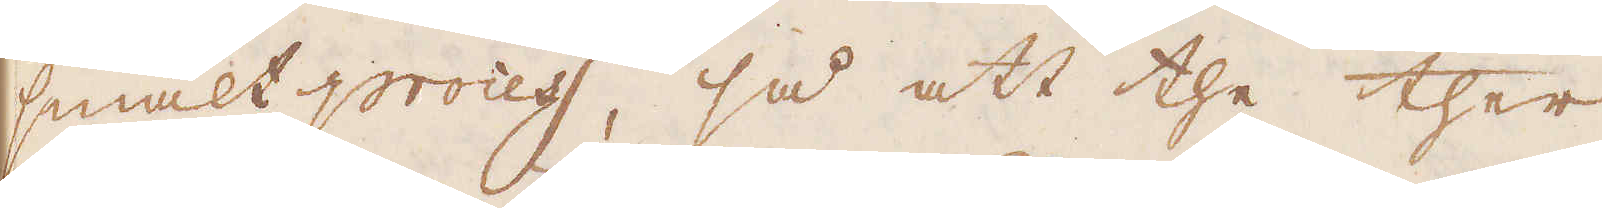smält process, så att the ther
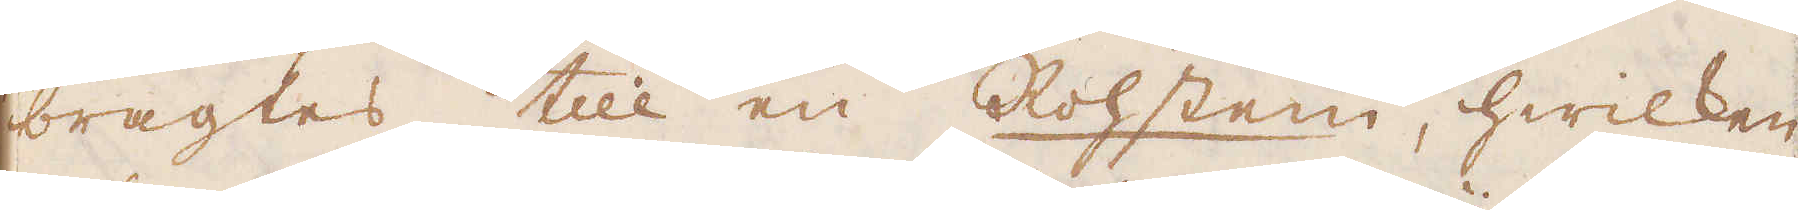bragtes till en Rohstein, hwilken
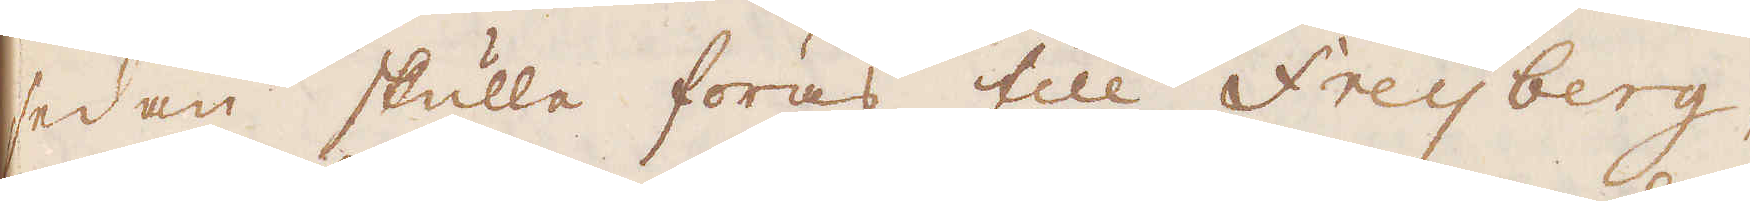sedan skulle föras till Freijberg
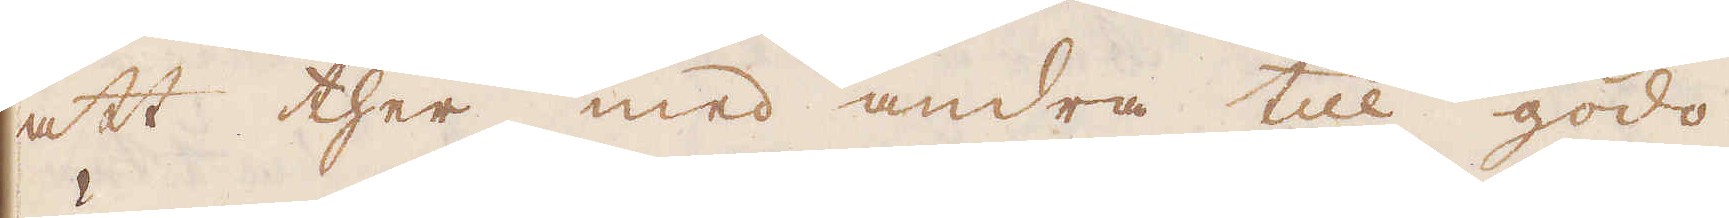att ther med andra till godo
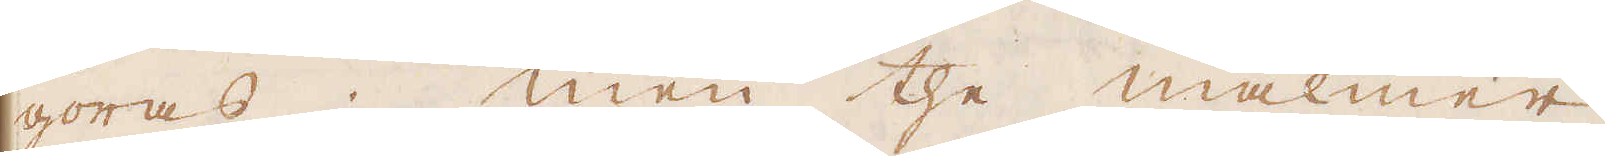göras; men the malmer,
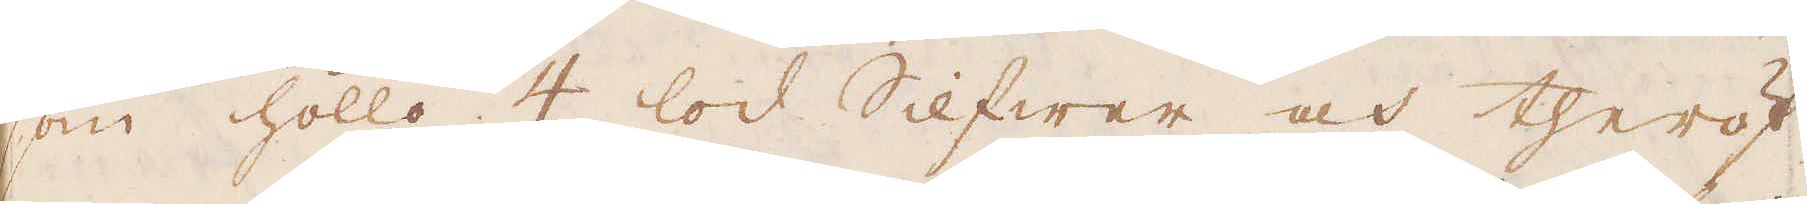som höllo 4 lod Silfwer och theröf-
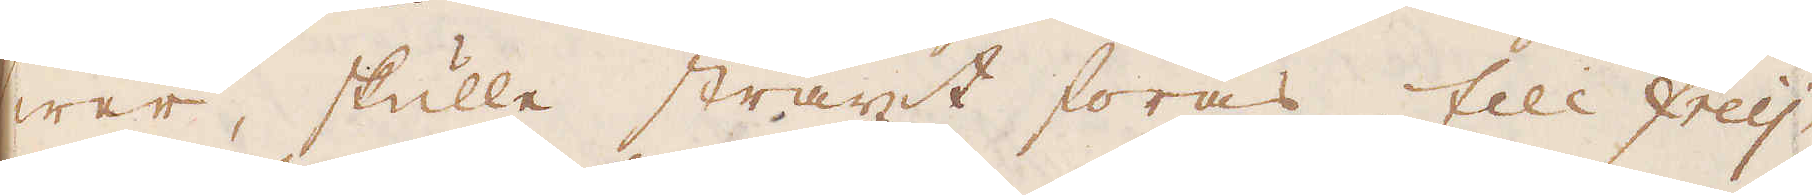wer skulle straxt föras till Freij-
